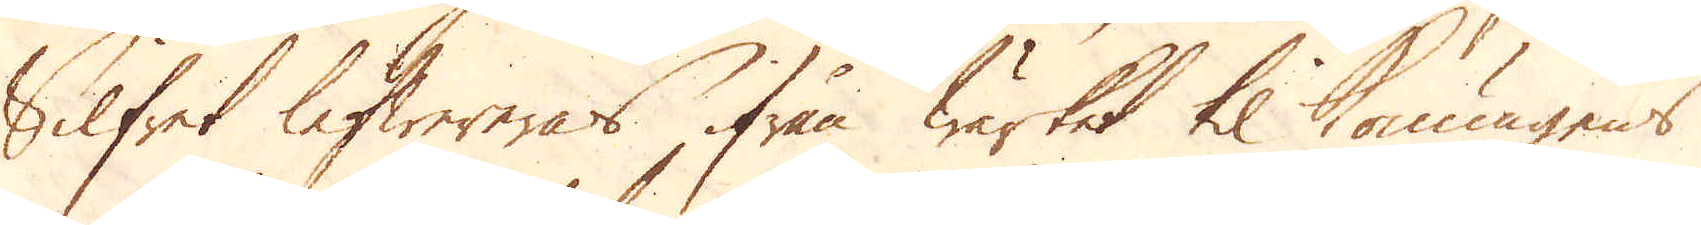Silfret lefwereras ifrån Wärket til Konungens
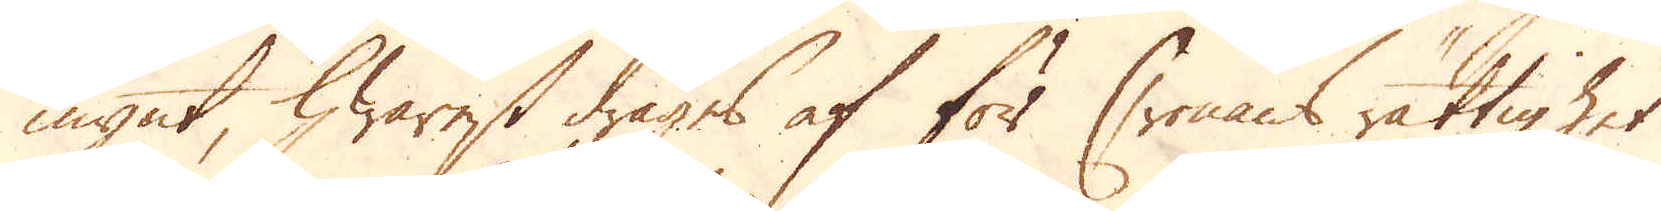mynt, hwarest drages af för Cronans rättighet
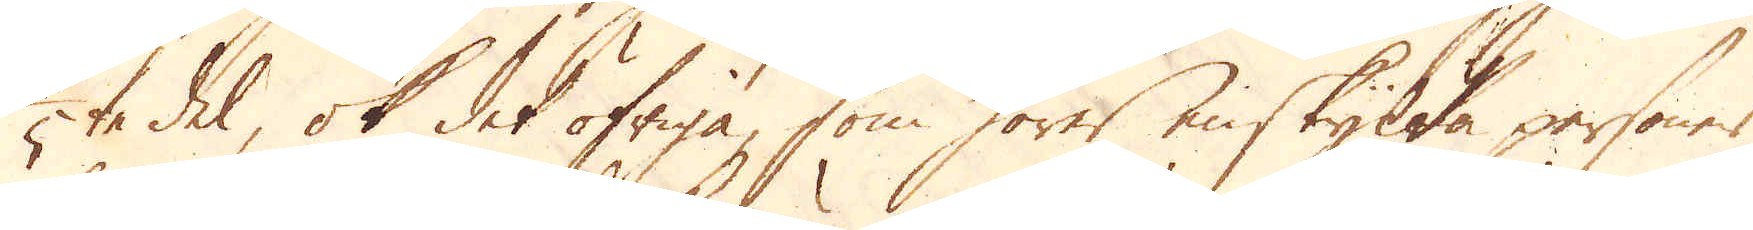1/5te del, ok det öfriga, som förer enskylta personer
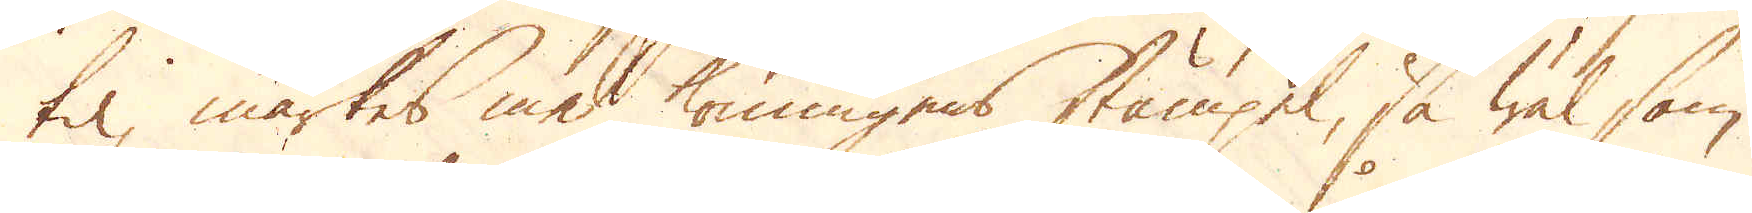til märkes med Konungens stämpel, så wäl som
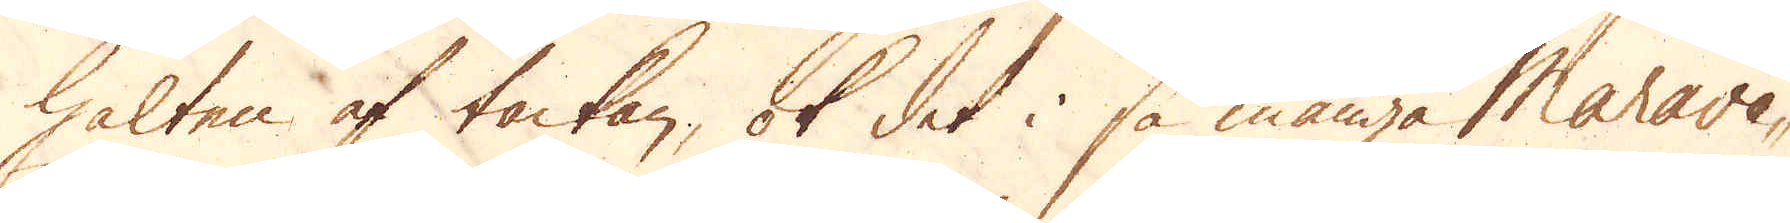halten af tackan, ok det i så många Marave-
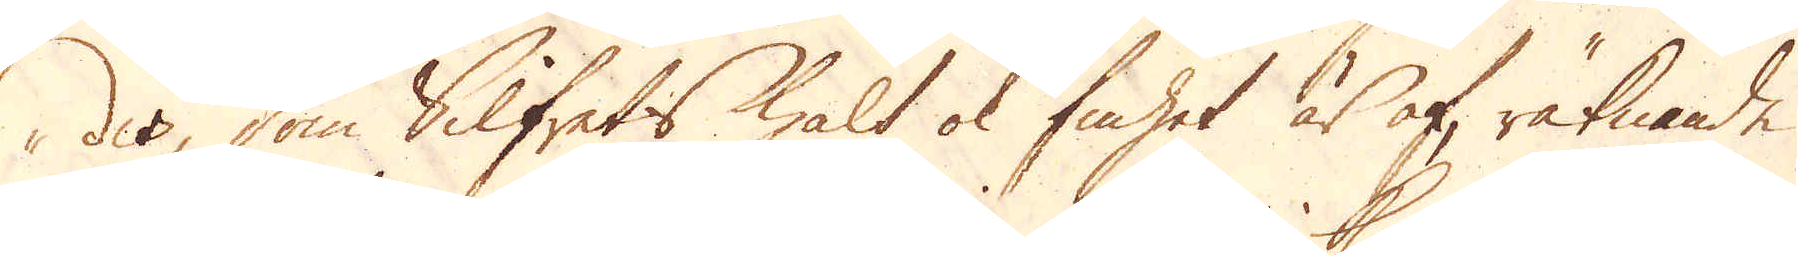des, som Silfrets halt ok finhet är af, räknande
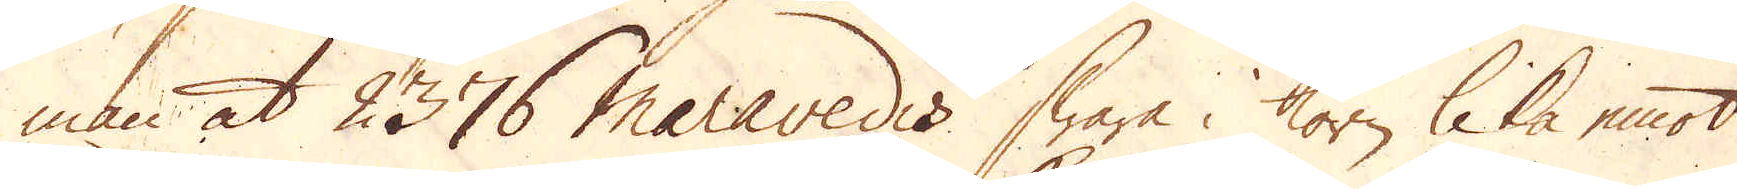man at 2376 maravedis swara i korn lika emot
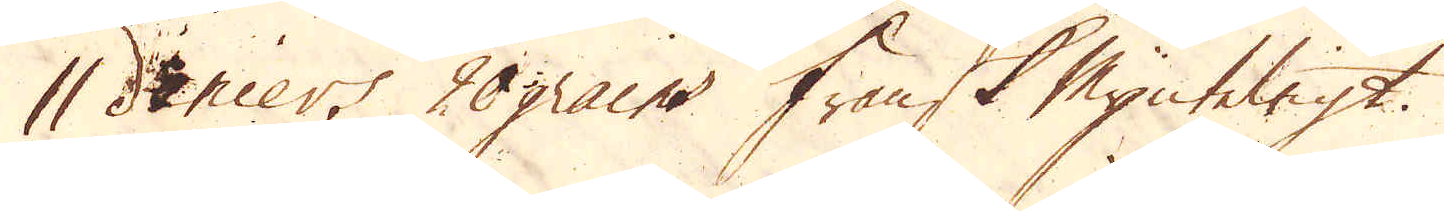1 deniers 20 grains Fransk Mynteligt.
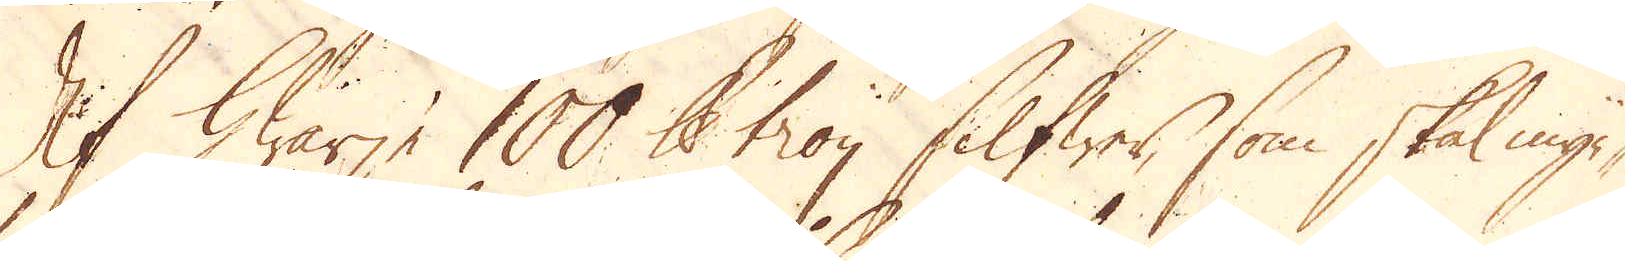Af hwarje 100 skålpund troy silfwer, som skal myn-
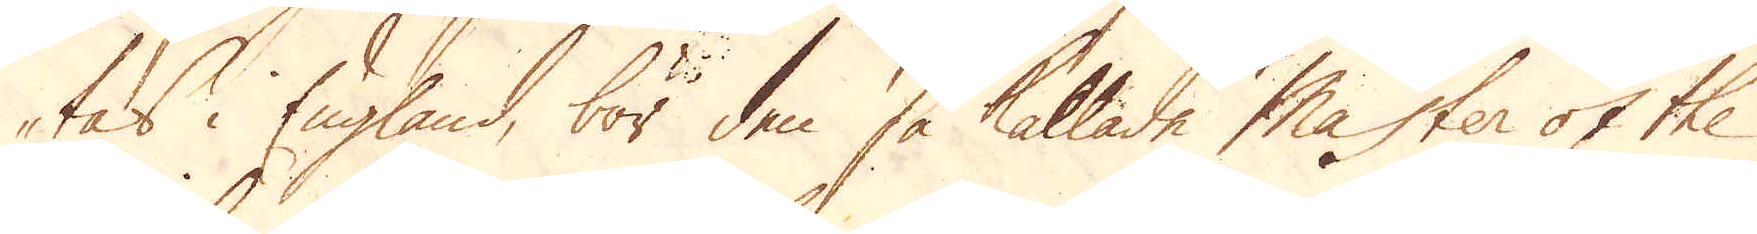tas i England, bör den så kallade Master of the
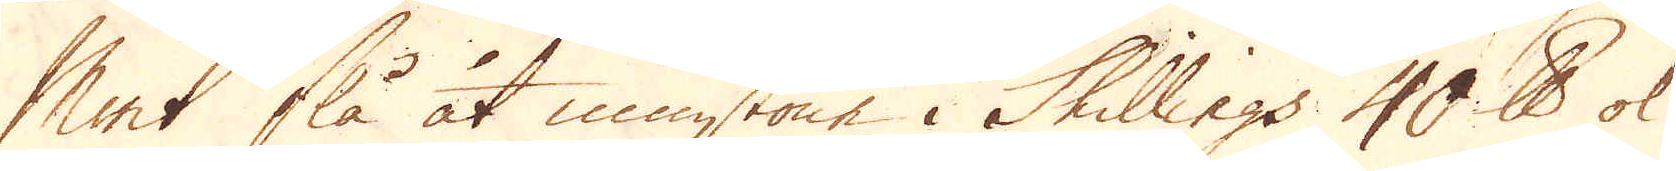Mint slå åt minstone i Skillings 40 skålpund ok
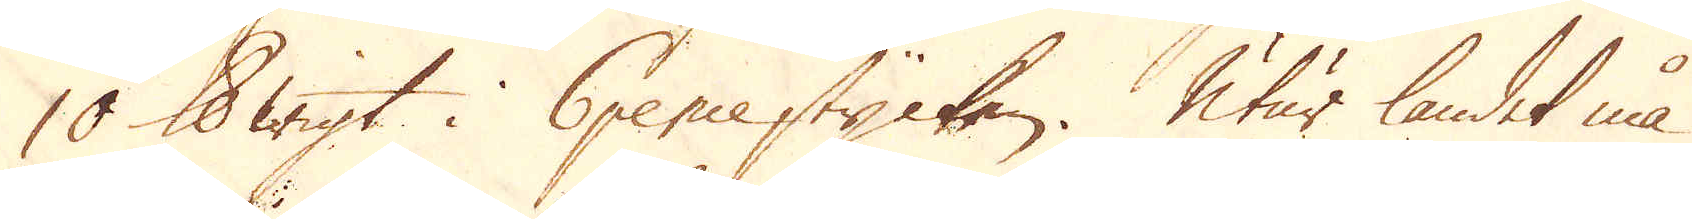10 skålpunds wigt i 6 pence stycken. Utur landet må
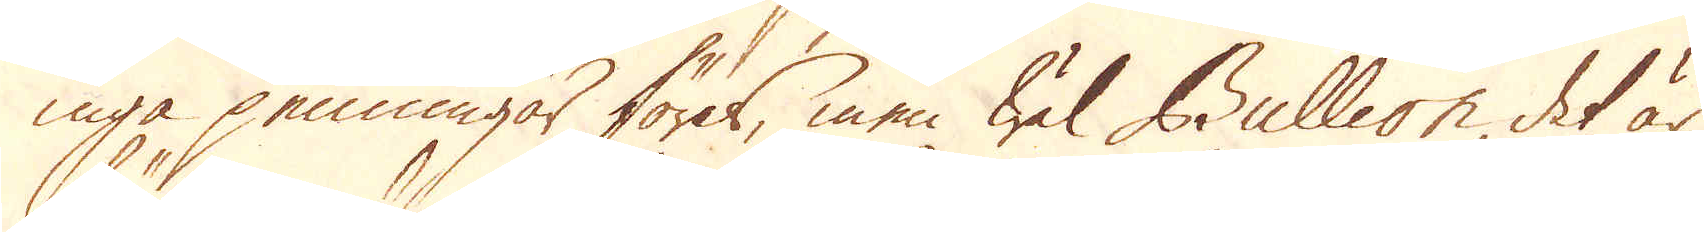inga penningar föres, men wäl Bullion det är
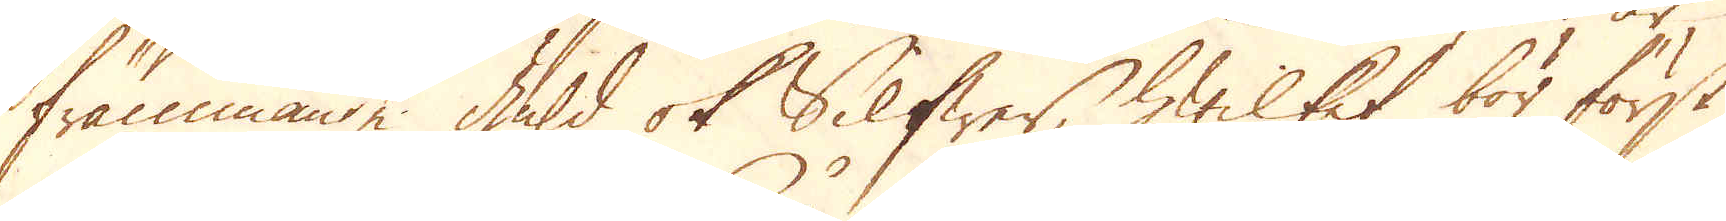främmande Guld ok Silfwer, hwilket bör först
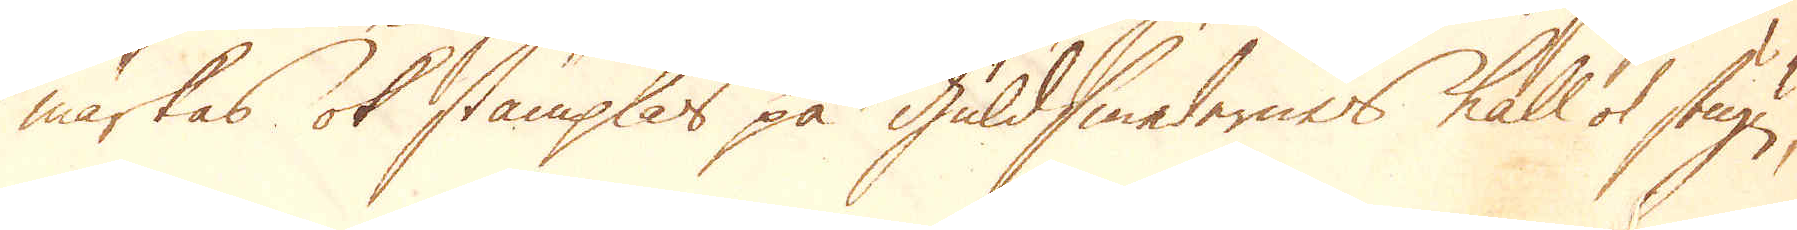märkas ok stämplas på guldsmedernes kall ok stugn,
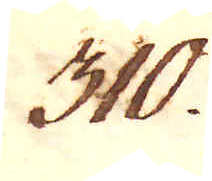310.
